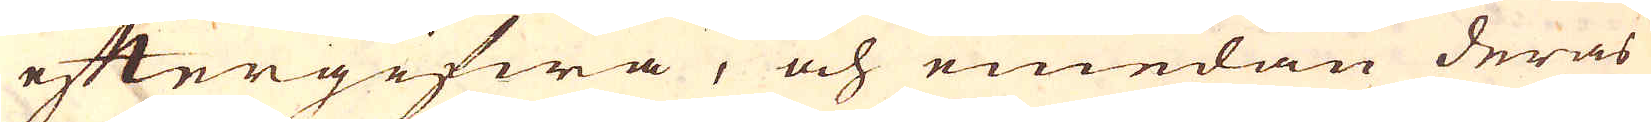eftergifwa, och emedan deras
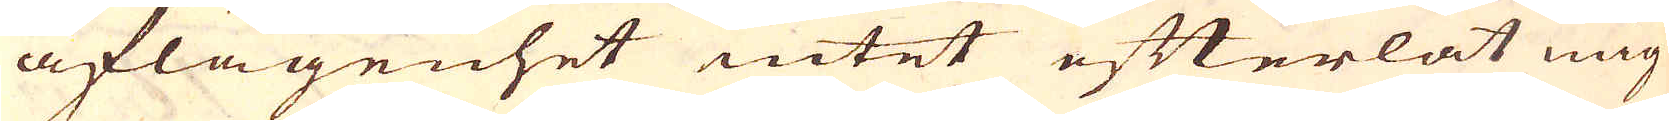aflägenhet intet efterlät mig
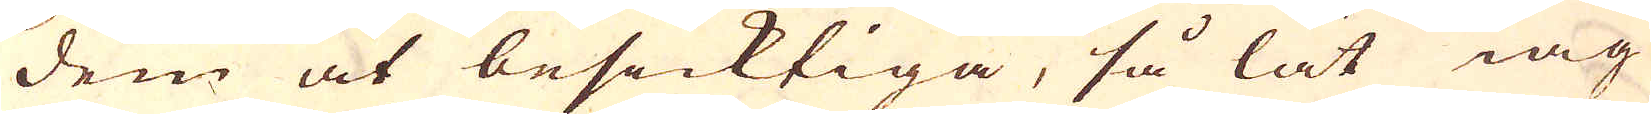dem at besicktiga, så lät iag
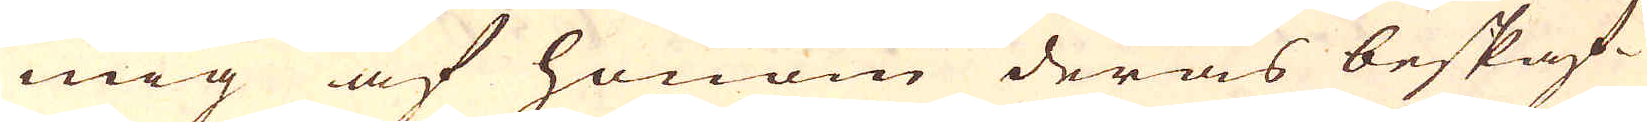mig af honom deras beskaf-
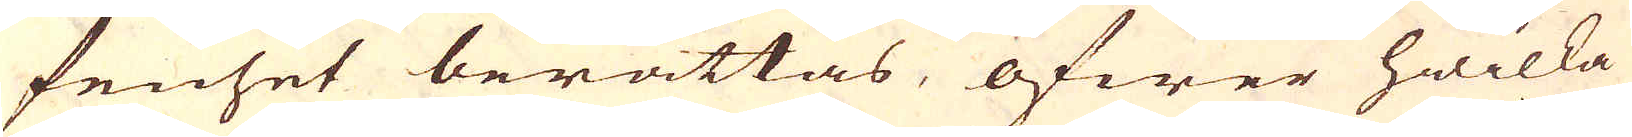fenhet berättas, öfwer hwilka
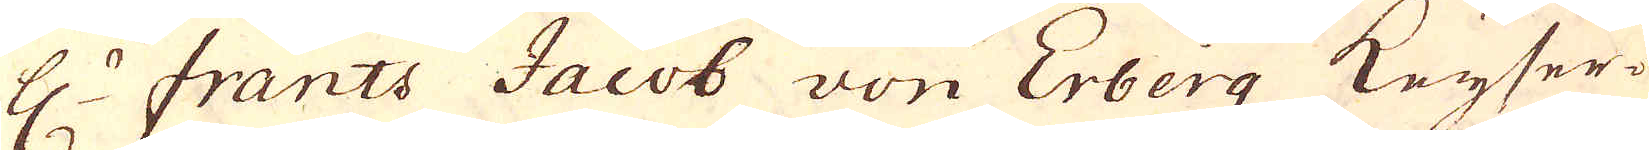H:r Frants Jacob von Erberg Keyser-
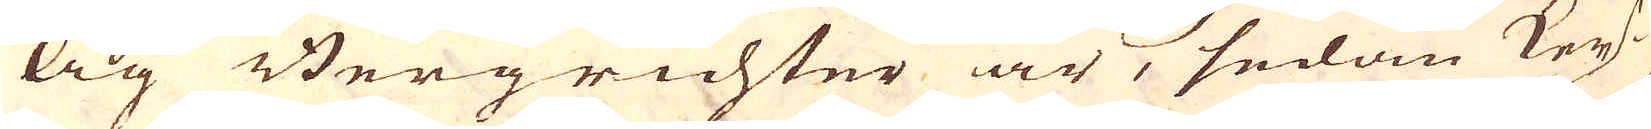lig Bergrichter är, sedan Key-
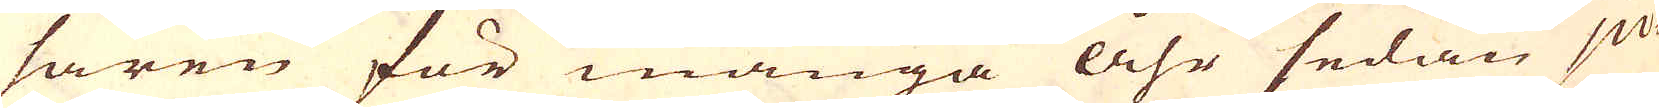saren för många Åhr sedan ju-
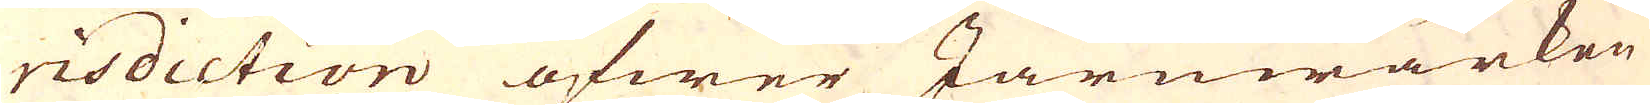risdiction öfwer Järnwärken
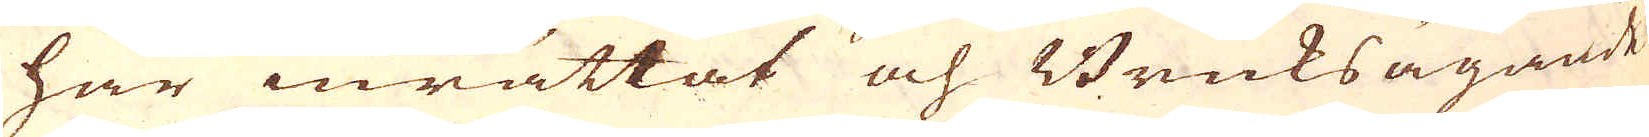har inrättat och Bruksägande
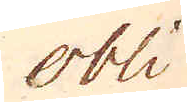obli
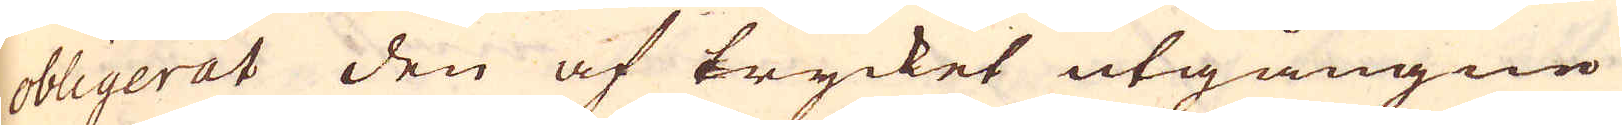obligerat den af trycket utgångne
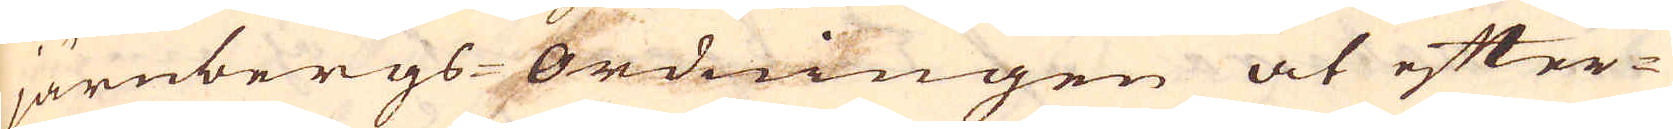järnbergs-Ordningen at efter-
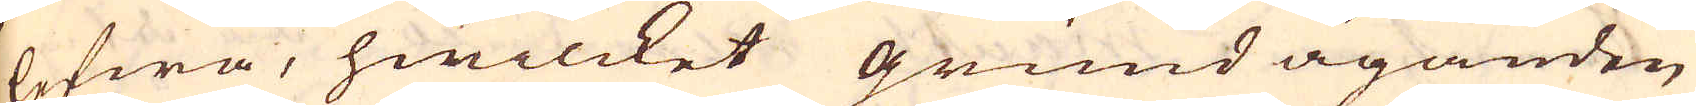lefwa, hwilcket grundäganden
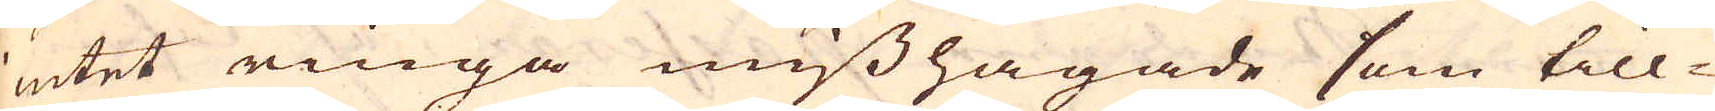intet ringa misshagade som till-
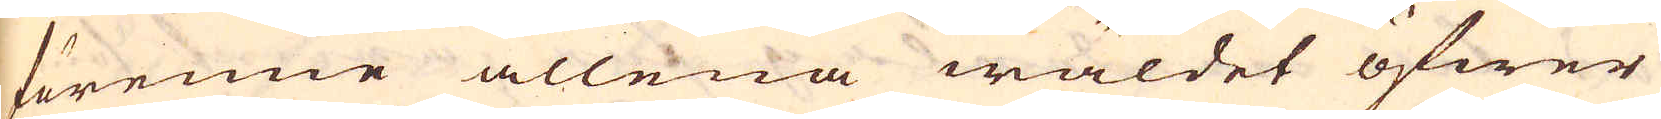förenne allena wäldet öfwer
